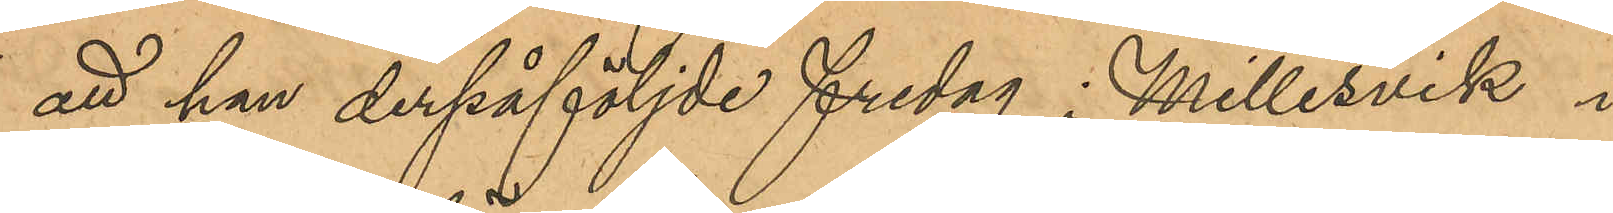att han derpåföljde fredag i Millesvik i
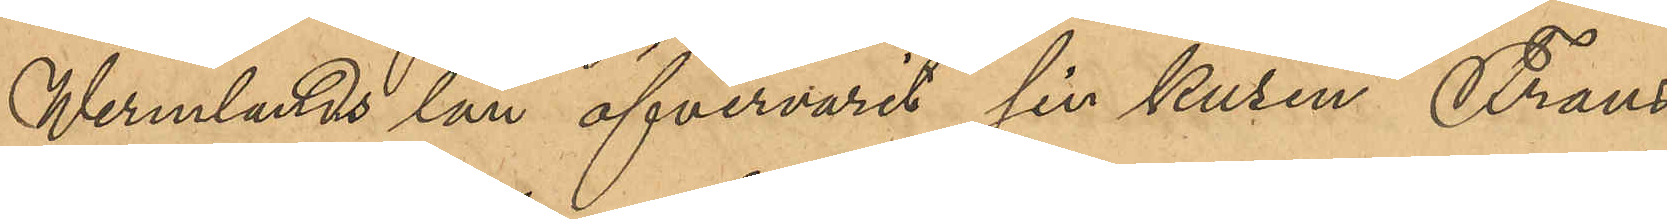Wermlands län öfvervarit sin kusin Frans
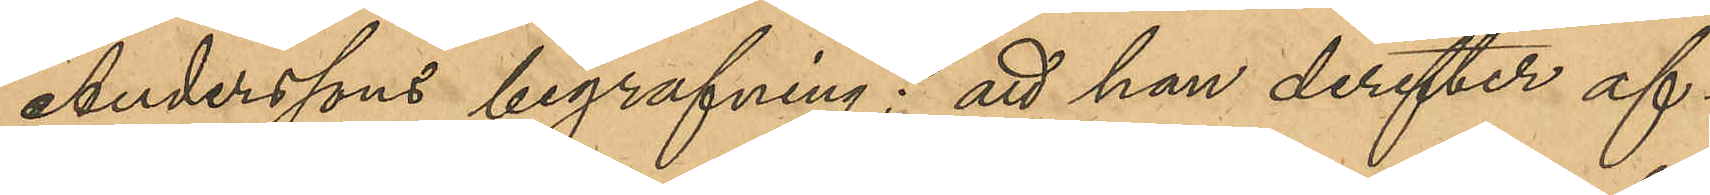Anderssons begrafning; att han derefter af¬
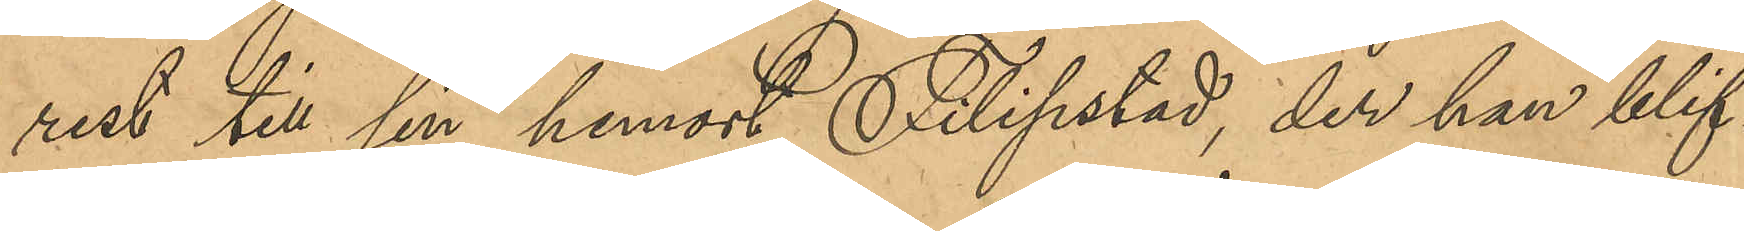rest till sin hemort Filipstad, der han blif¬
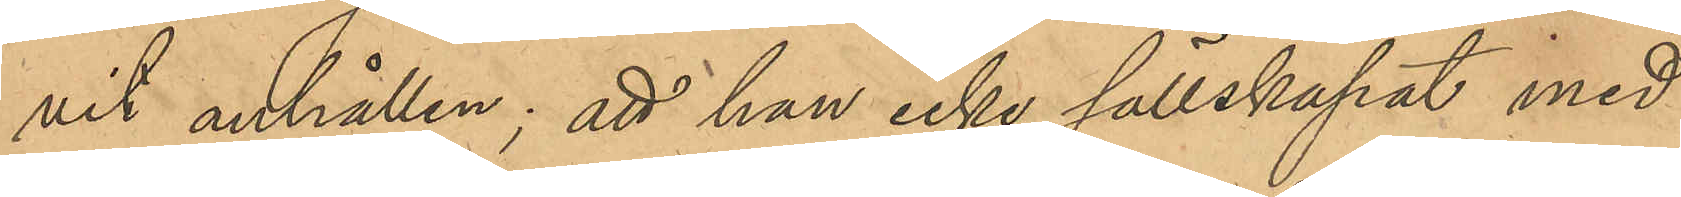vit anhållen; att han icke sällskapat med 
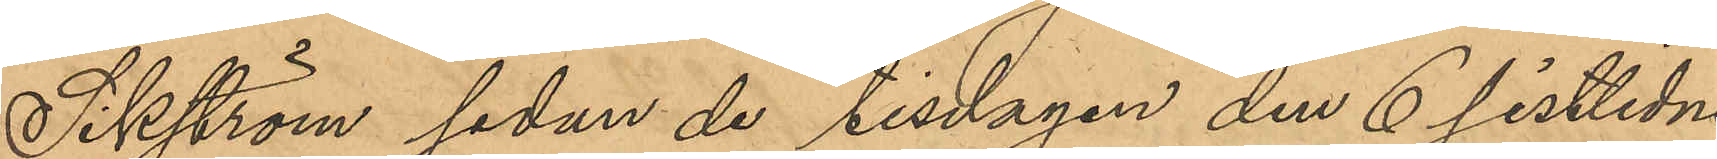Sikström sedan de tisdagen den 6 sistlidne
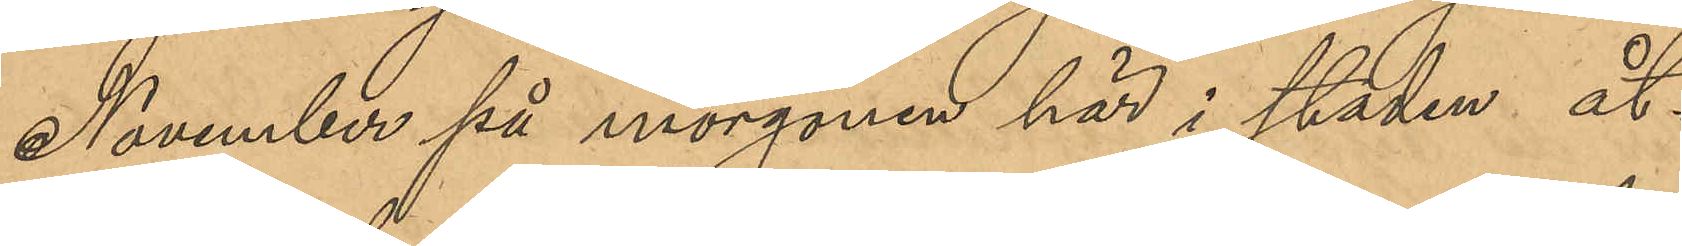November på morgonen här i staden åt¬
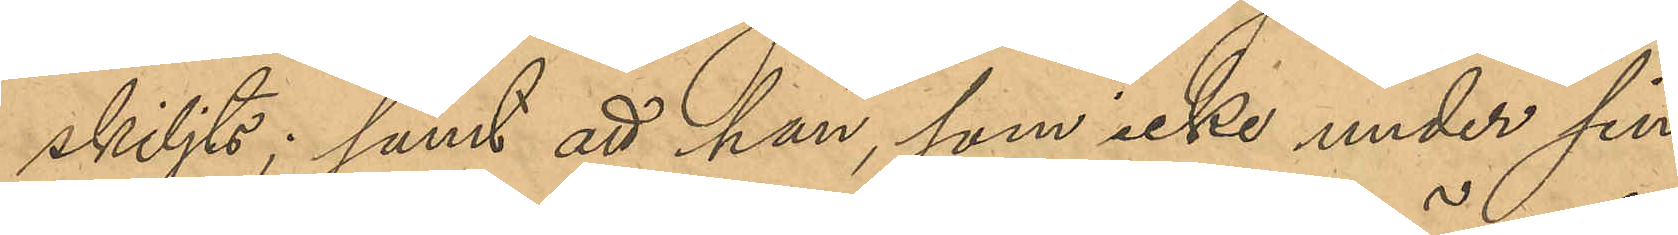skiljts; samt att han, som icke under sin
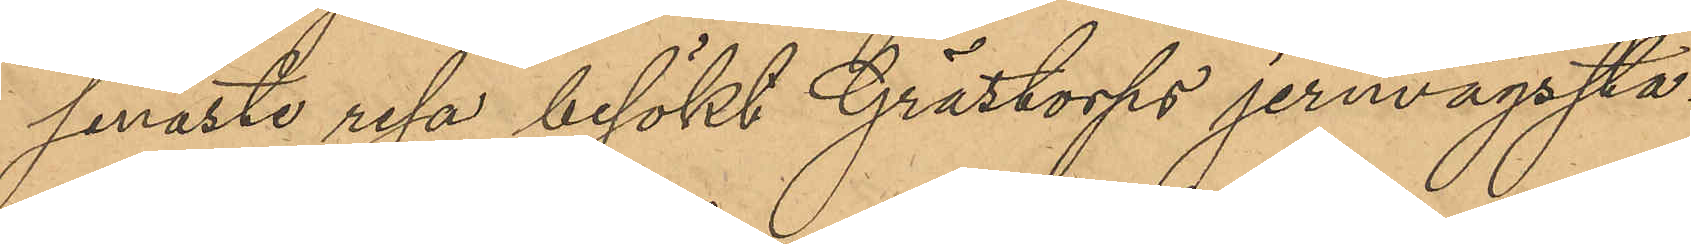senaste resa besökt Grästorps jernvägssta¬
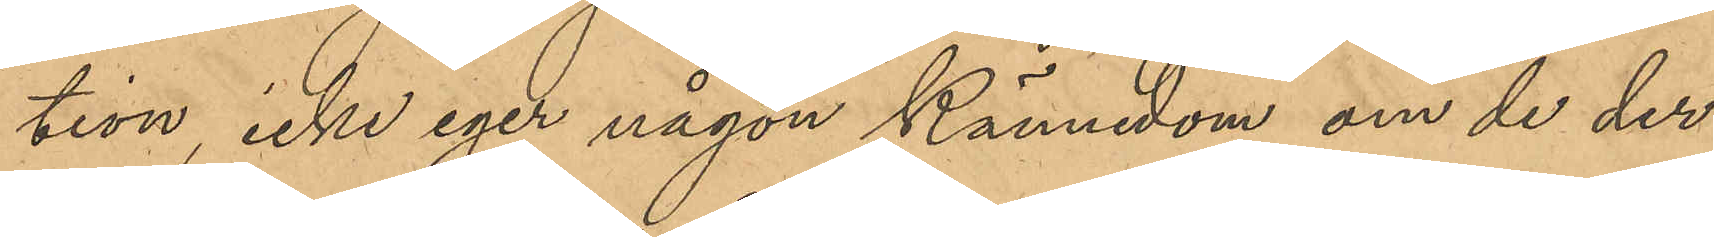tion, icke eger någon kännedom om de der
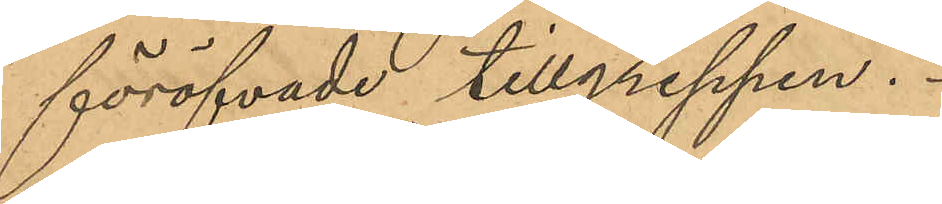föröfvade tillgreppen.
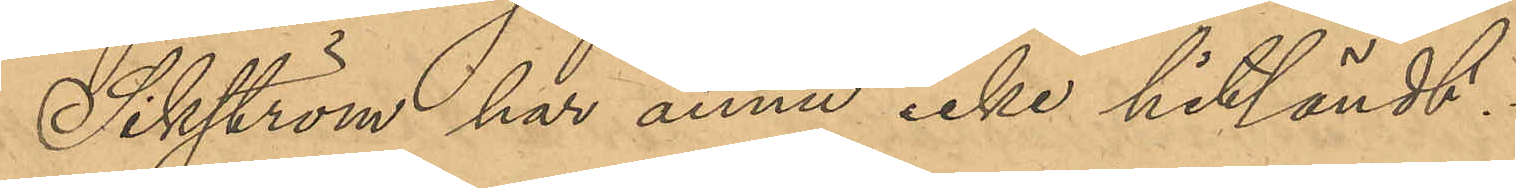Sikström har ännu icke hitländt.
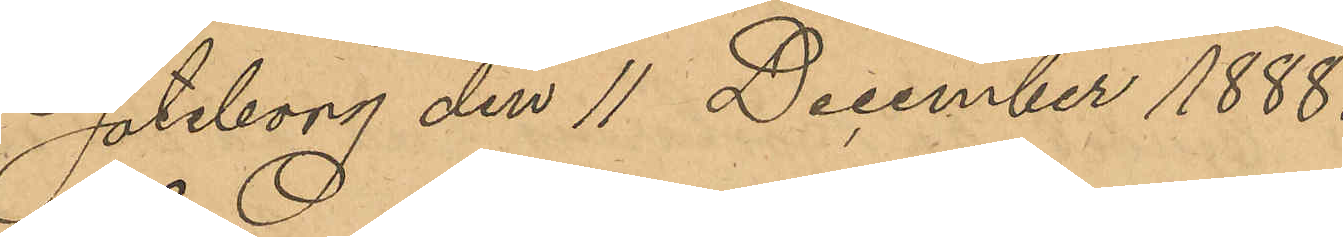Göteborg den 11 December 1888.
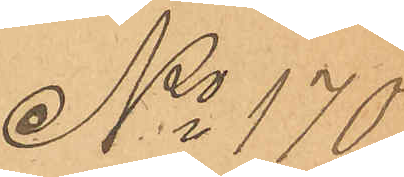No 170
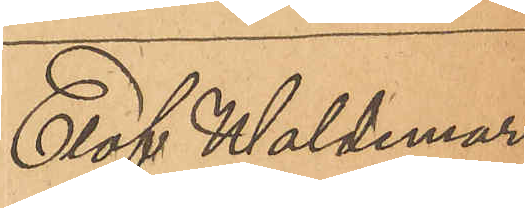Elof Waldemar
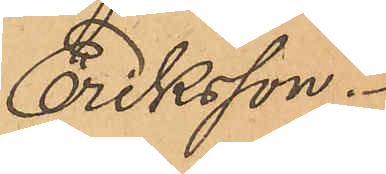Eriksson.
